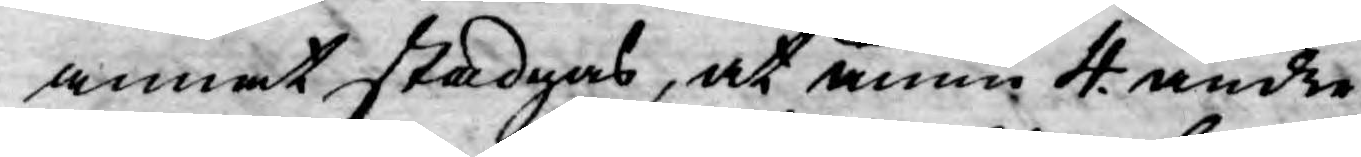annat stadgas, at ännu 4 andre
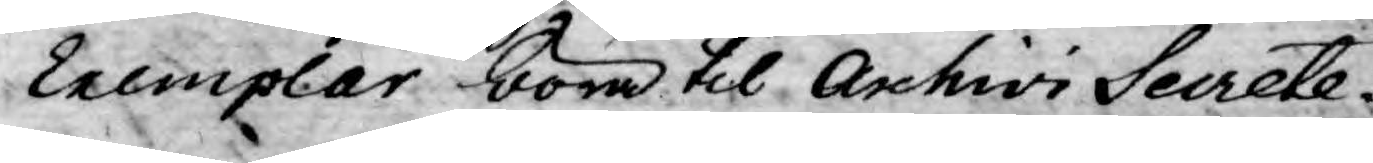Exemplar böra til Archivi Secrete¬
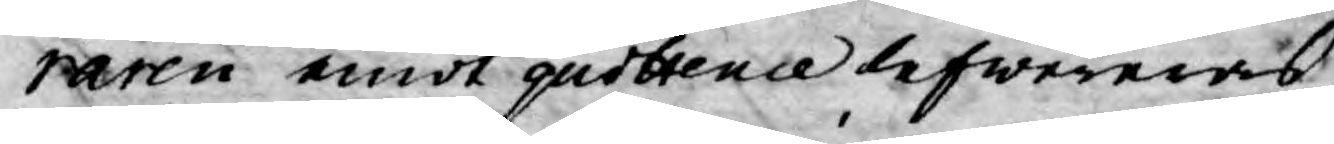raren emot quittence lefwereras,
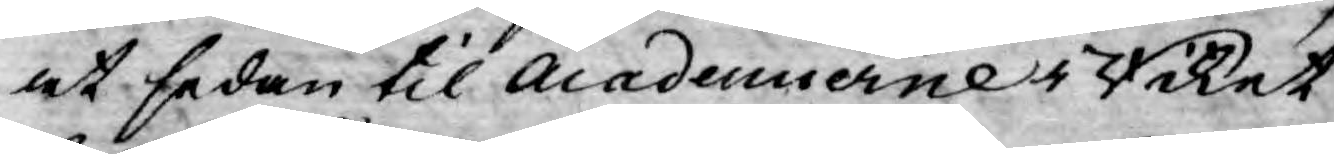at sedan til Academierne i Riket
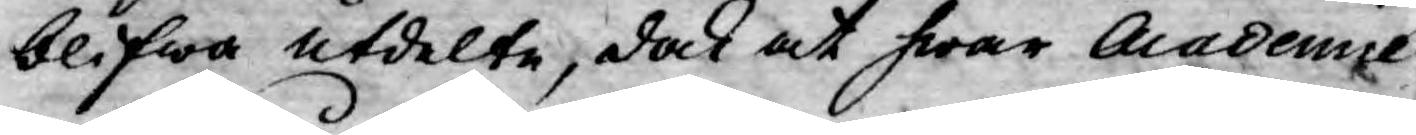blifwa utdelte, dock at hwar Acdemie
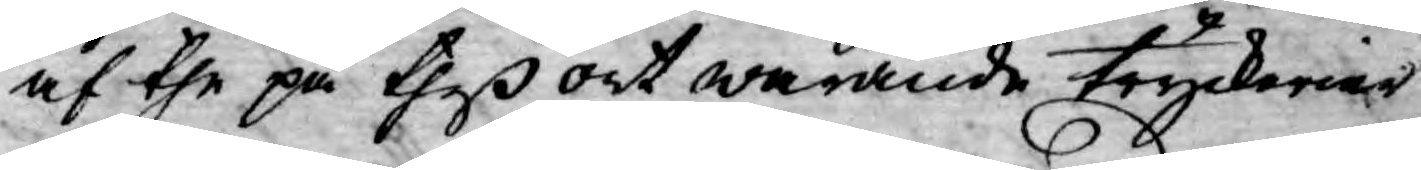af the på theß ort warande tryckerier
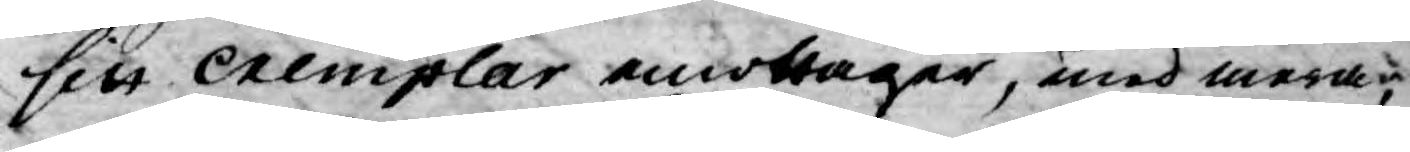sitt Exemplar emottager, med mera,
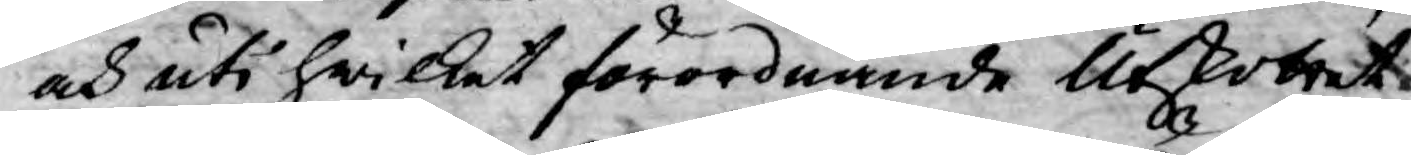och uti hwilket förordnande Utkottet
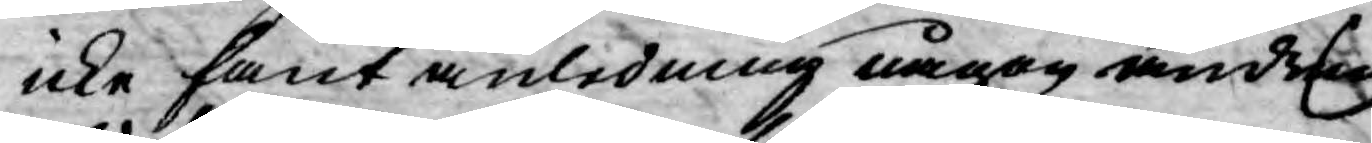icke fant anledning någon ändring
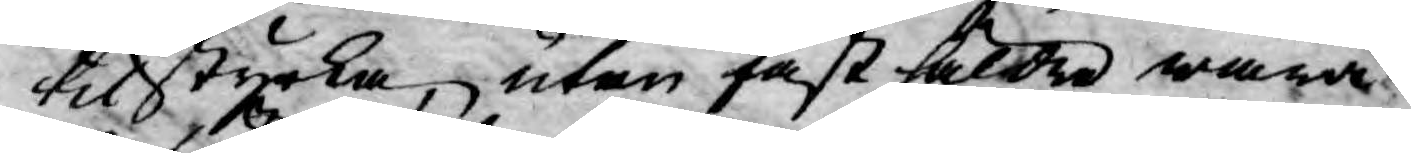tilstyrka, utan fast sålde wara
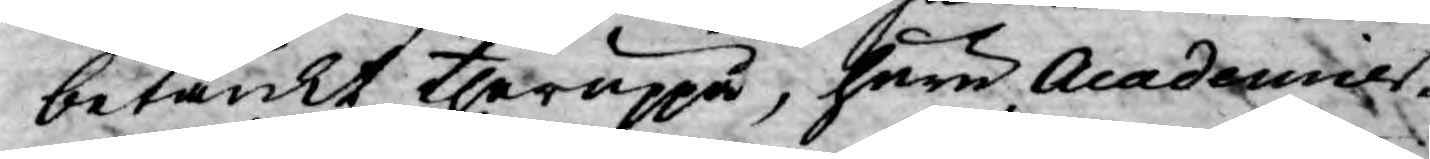betänkt theruppå, huru Acadamier¬
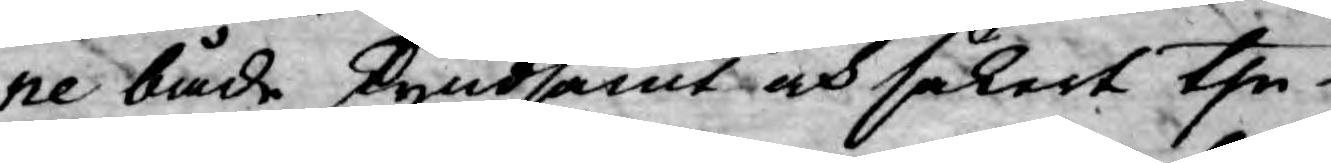ne både skyndsamt och säkert the
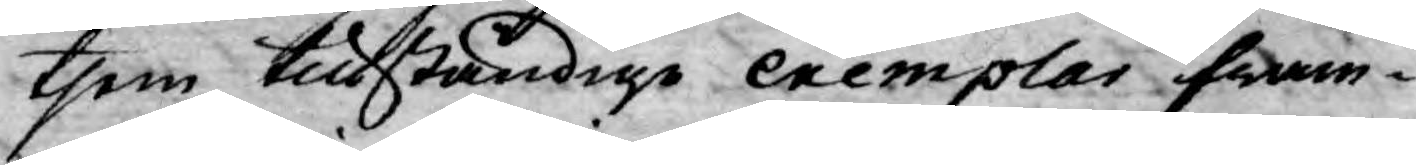them tillståndige exemplar fram¬
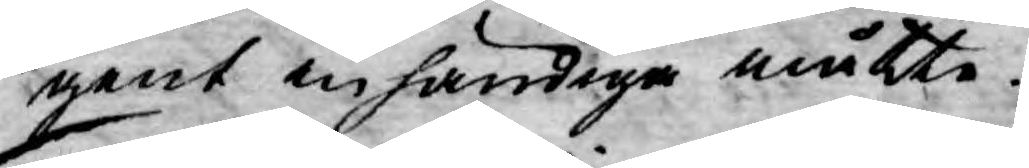gent inhändiga måtte.
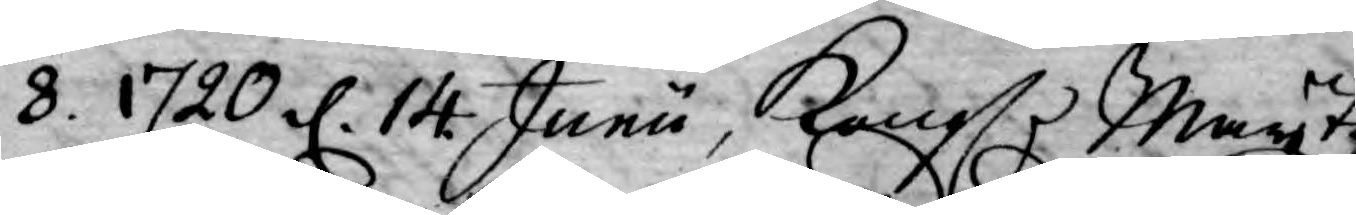8. 1720 d. 14. Junu, Kongl. Maytz
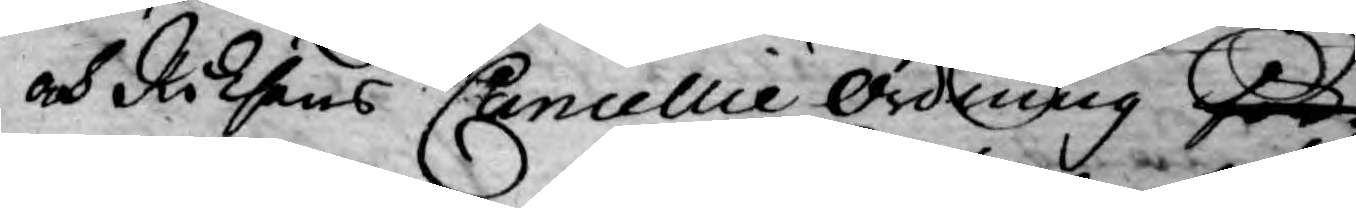och Riksens Cancellie Ordning för¬
